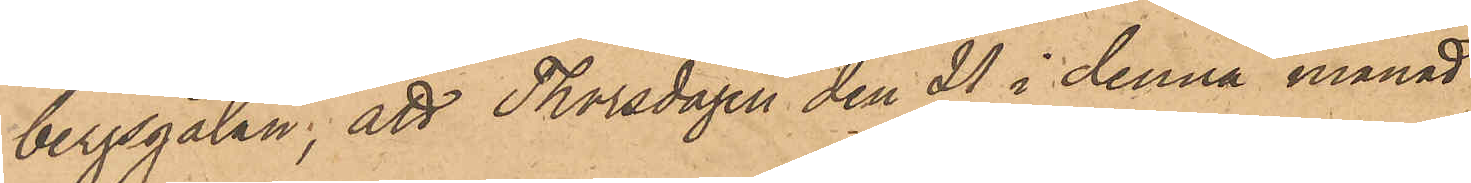bergsgatan; att Thorsdagen den 21 i denna månad
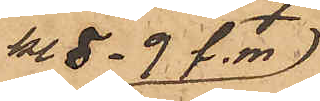kl. 8-9 f. m
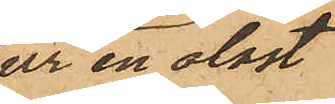ur en olåst
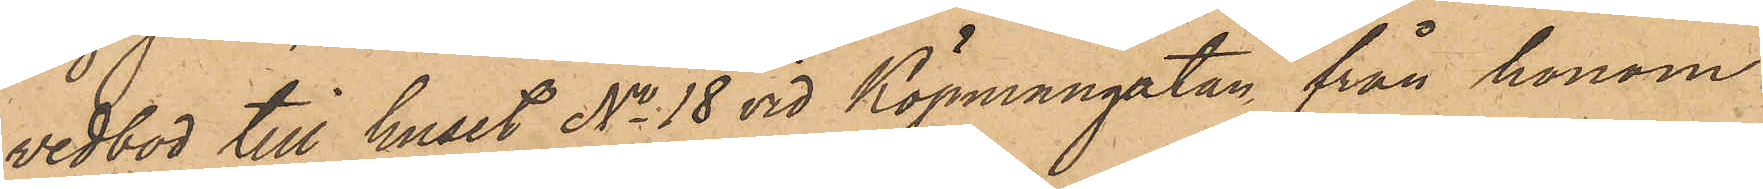vedbod till huset No 18 vid Köpmangatan, från honom
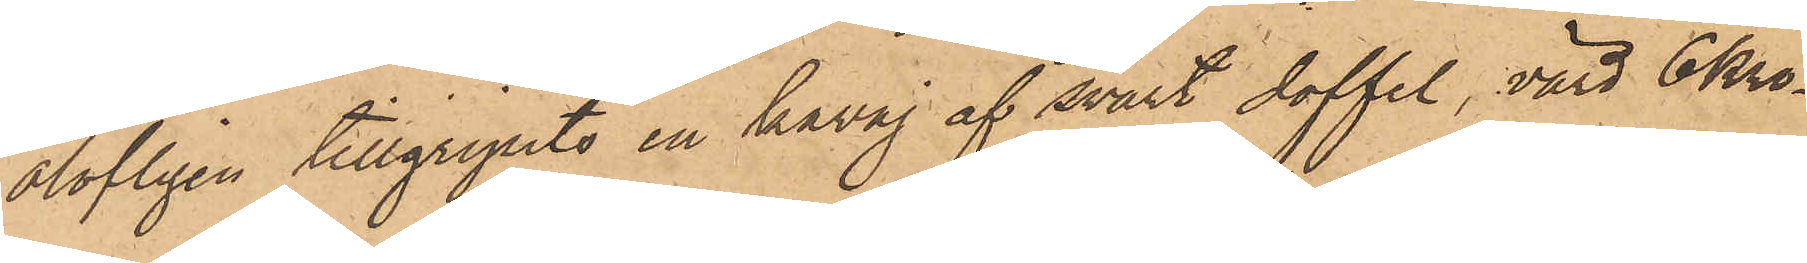olofligen tillgripits en kavaj af svart doffel, värd 6 kro¬
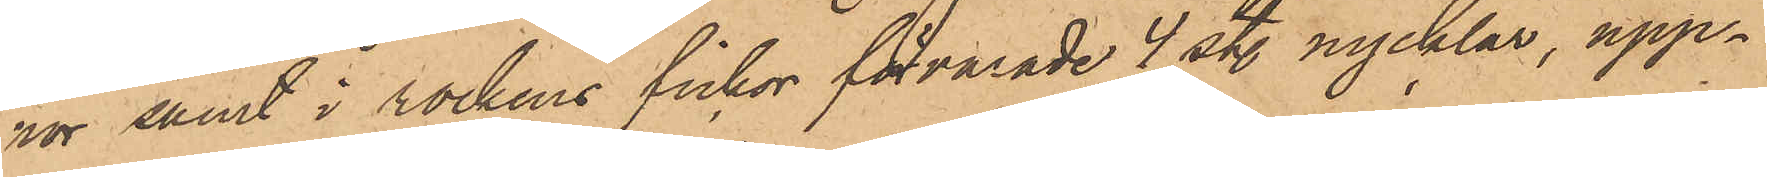nor samt i rockens fickor förvarade 4 st. nycklar, upp¬
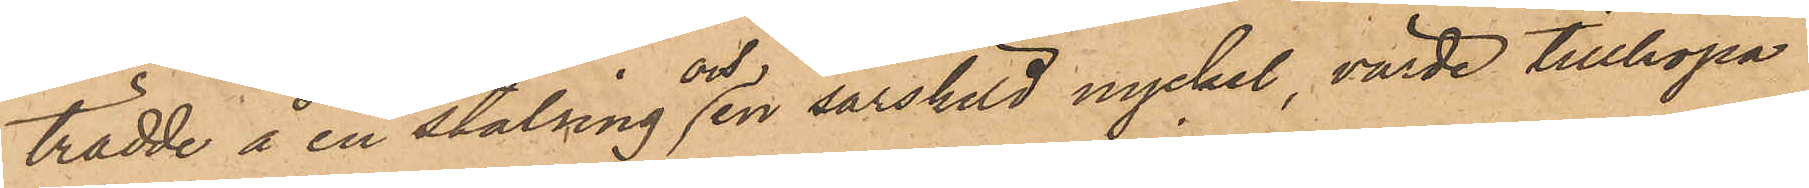trädde å en stålring och en särskild nyckel, värde tillhopa
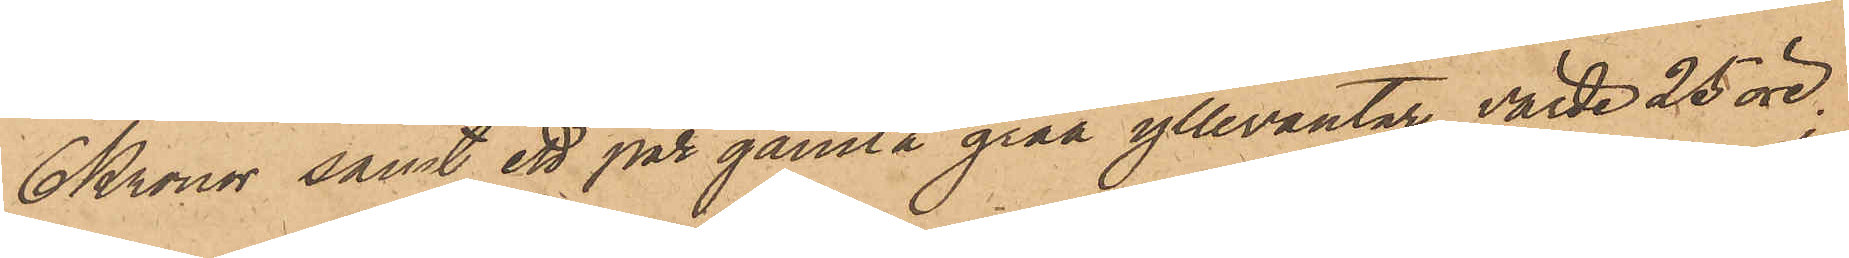6 Kronor samt ett par gamla gråa yllevantar, värde 25 öre.
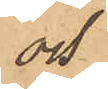och
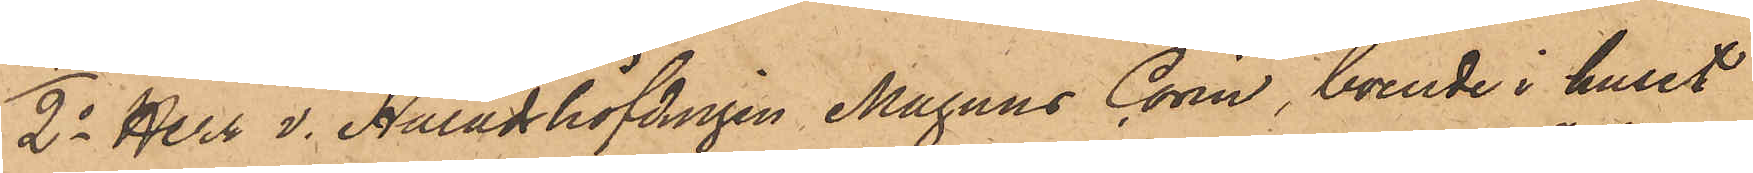2o Herr v. Häradshöfdingen Magnus Corin, boende i huset
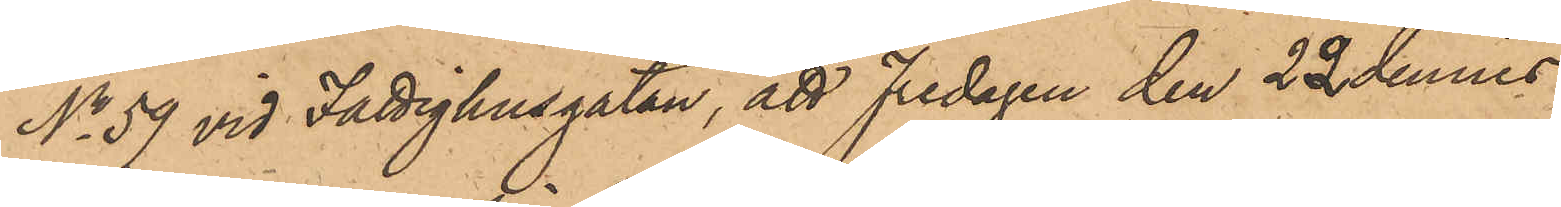No 59 vid Fattighusgatan, att Fredagen den 22 dennes
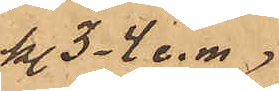kl 3-4 e. m
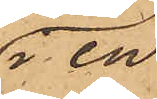i en
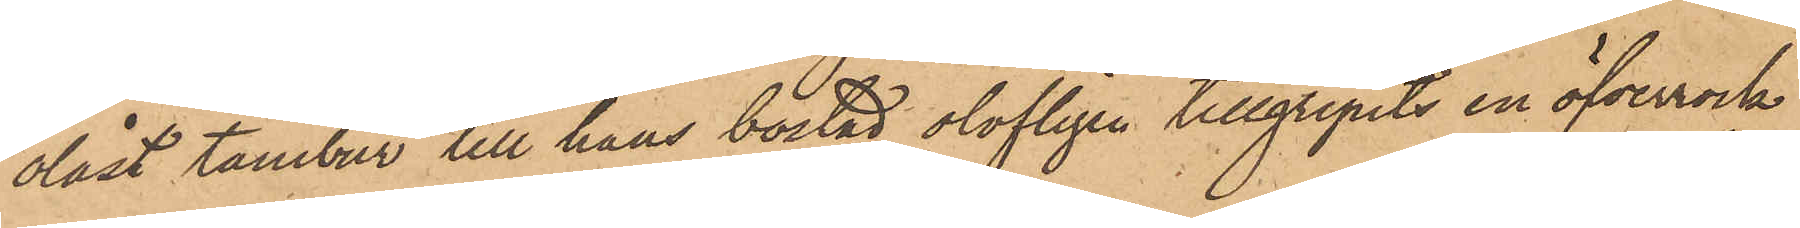olåst tambur till hans bostad olofligen tillgripits en öfverrock
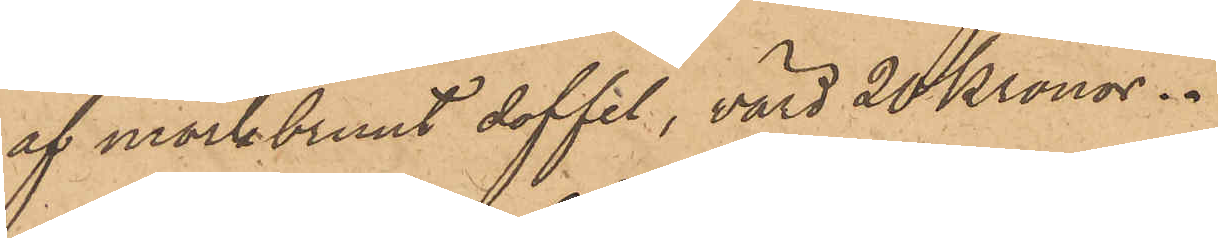af mörkbrunt doffel, värd 20 Kronor.
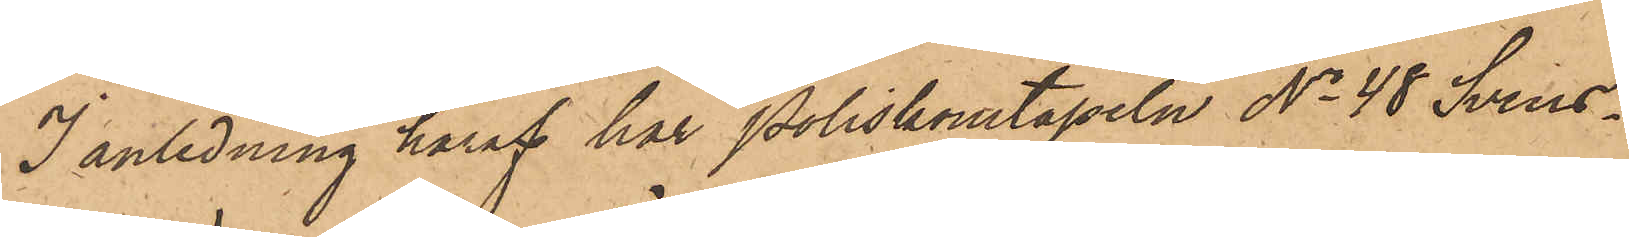I anledning häraf har Poliskonstapeln No 48 Svens¬
